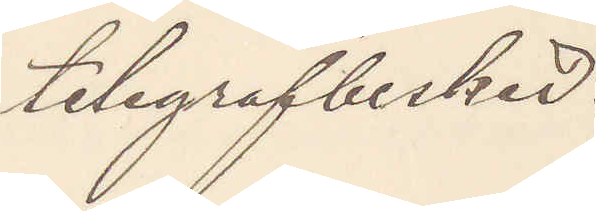telegrafbesked.
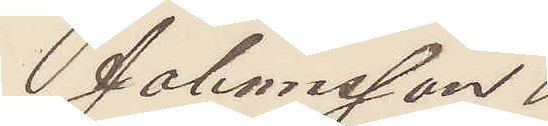Johansson
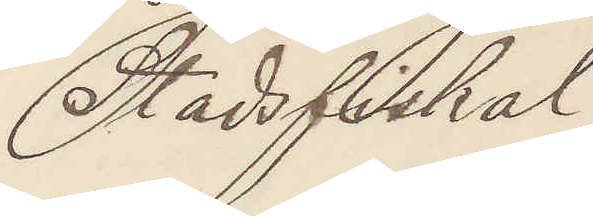Stadsfiskal
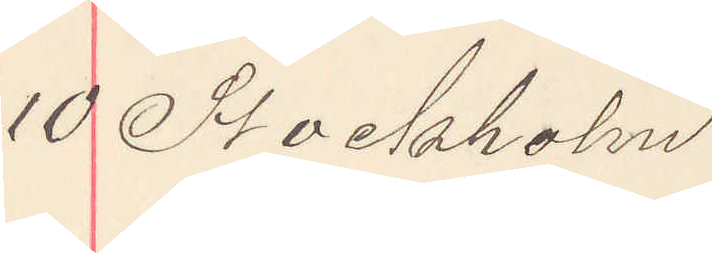10 Stockholm
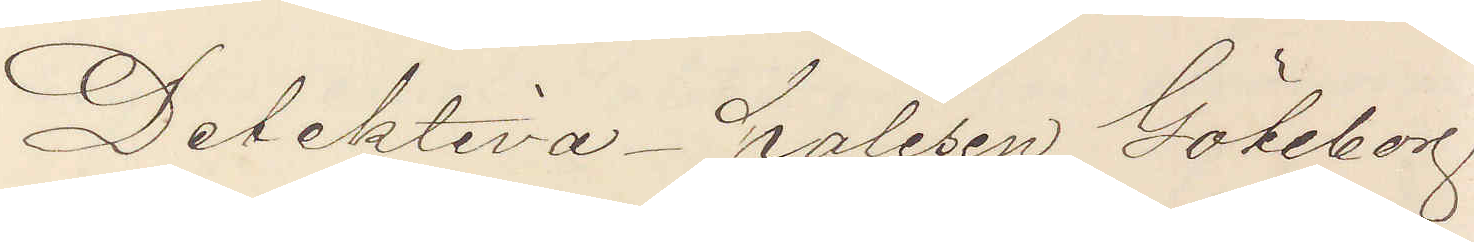Detektiva polisen Göteborg
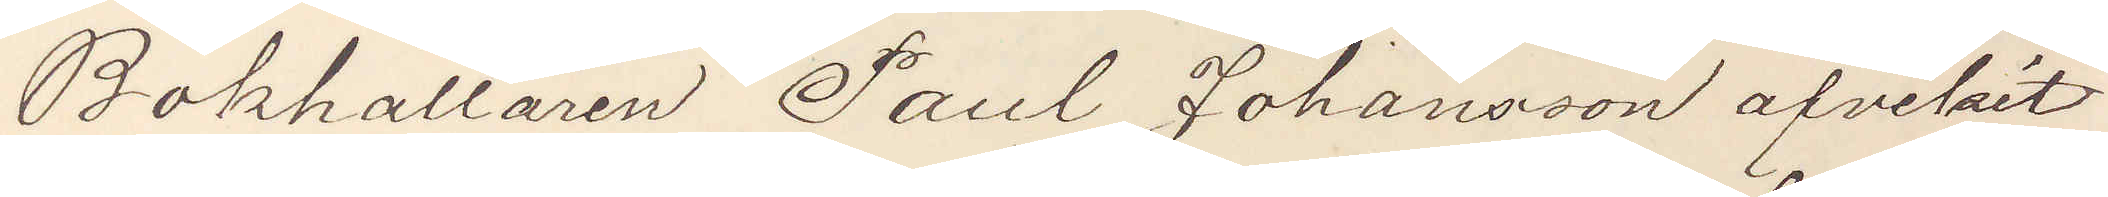Bokhållaren Paul Johansson afvikit
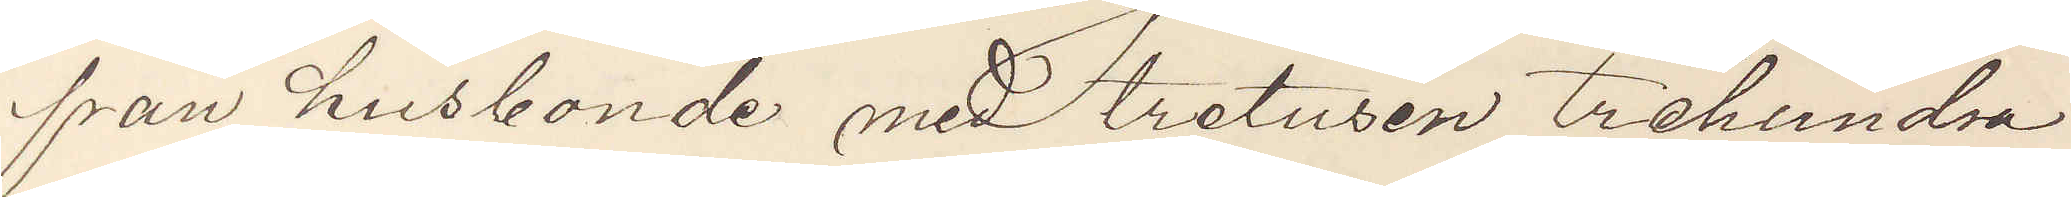från husbonde med tretusen trehundra
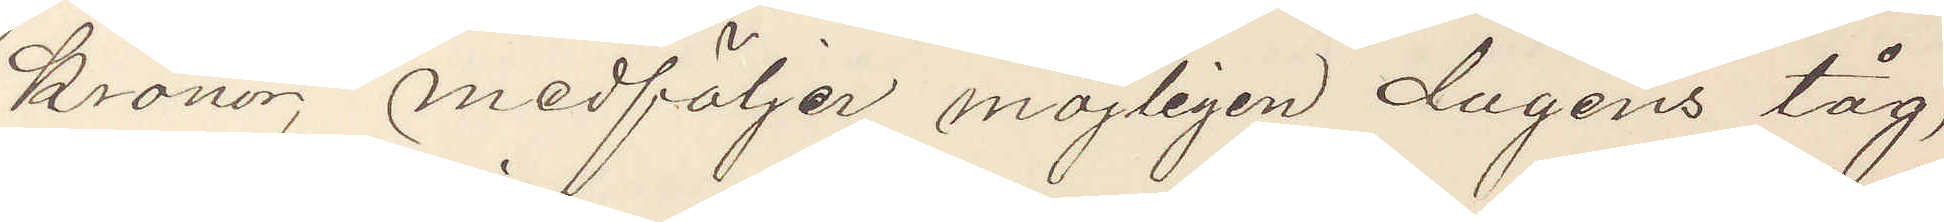kronor, medföljer möjligen dagens tåg,
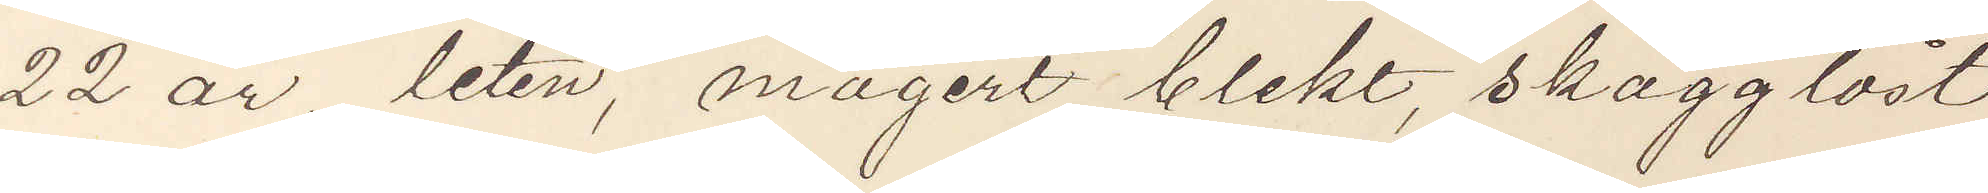22 år, liten, magert blekt, skägglöst
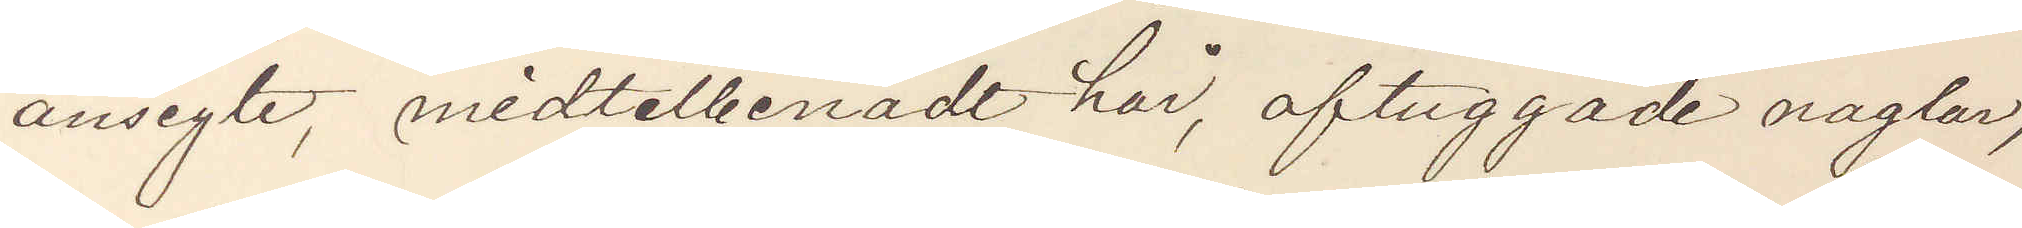ansigte, midtelbenadt hår, aftuggade naglar,
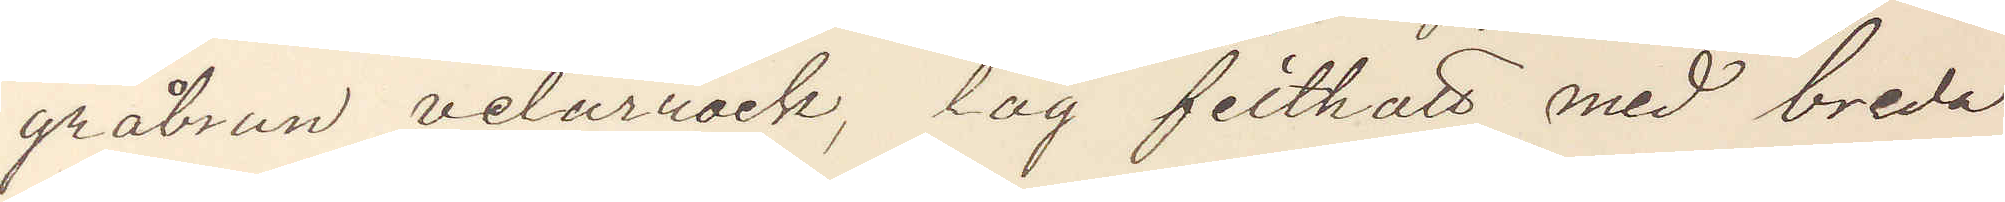gråbrun velurrock, låg filthatt med breda
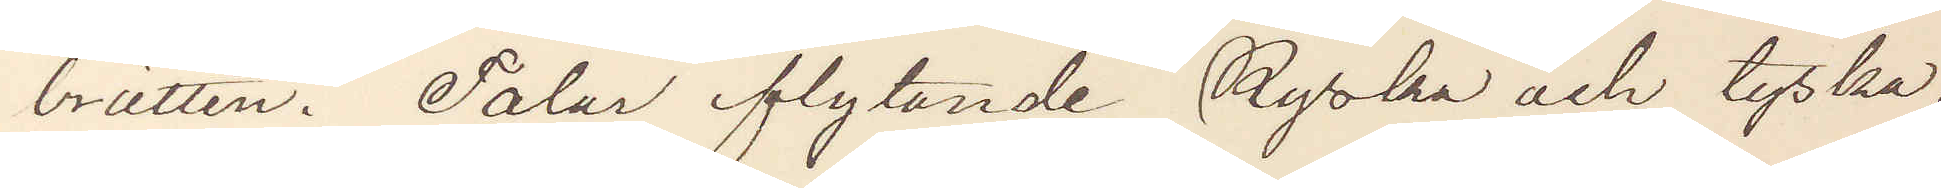brätten. Talar flytande Ryska och tyska,
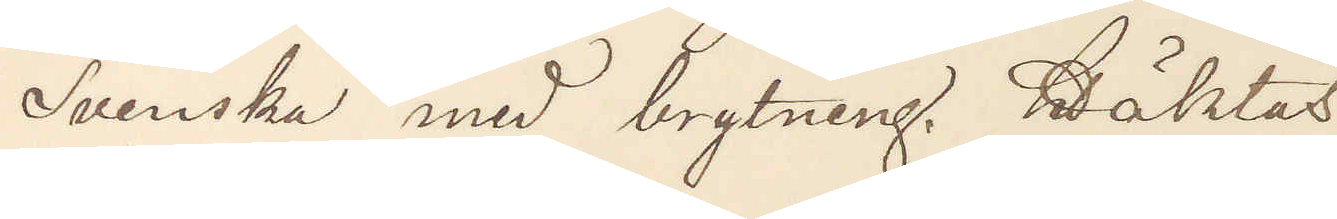Svenska med brytning. Häktas.
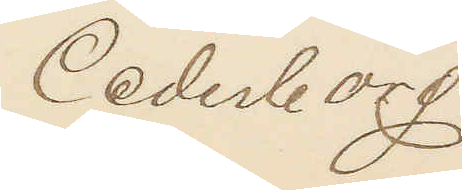Cederborg.
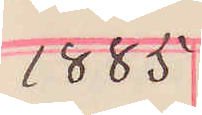1885
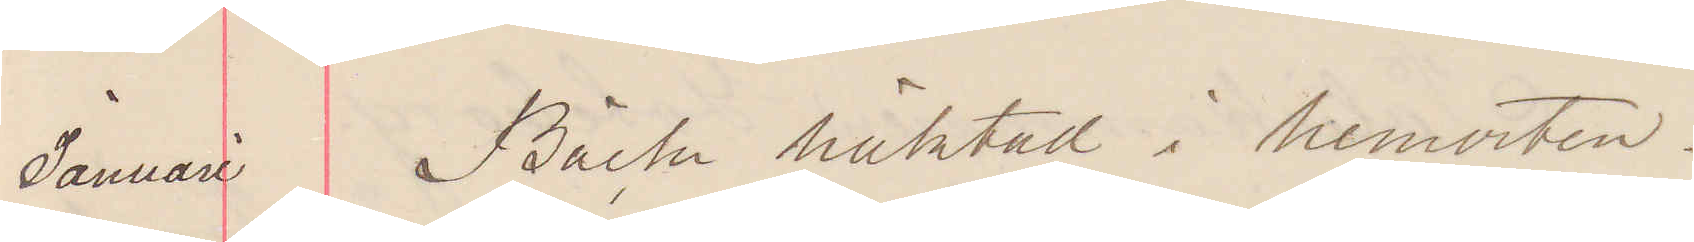Januari Bäck häktad i hemorten.
